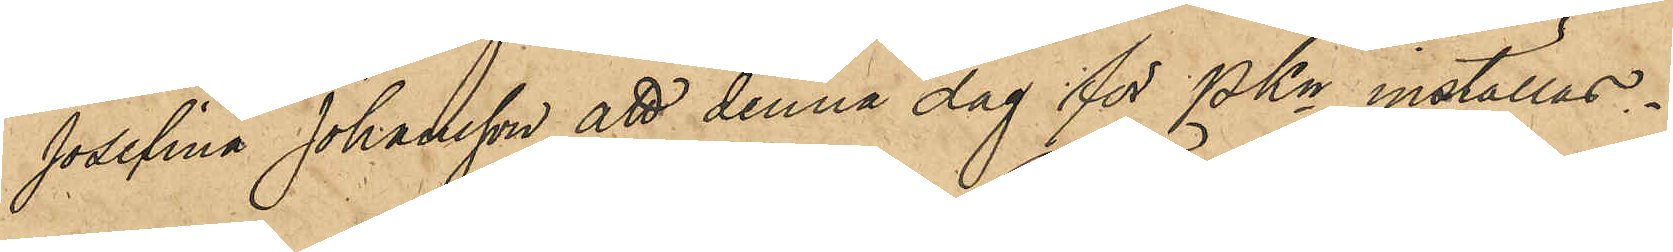Josefina Johansson att denna dag för PKn inställas.
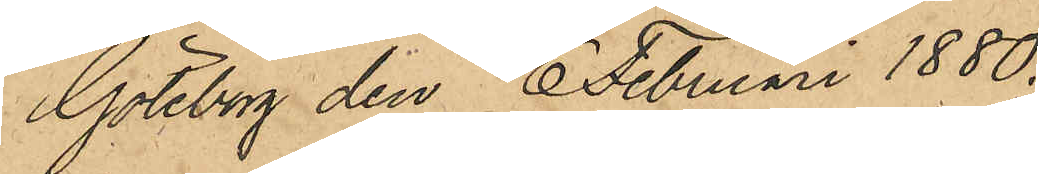Göteborg den 6 Februari 1880.
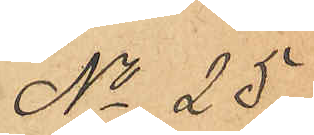No 25.
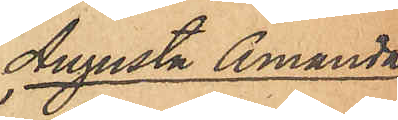Augusta Amanda
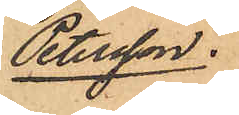Petersson.
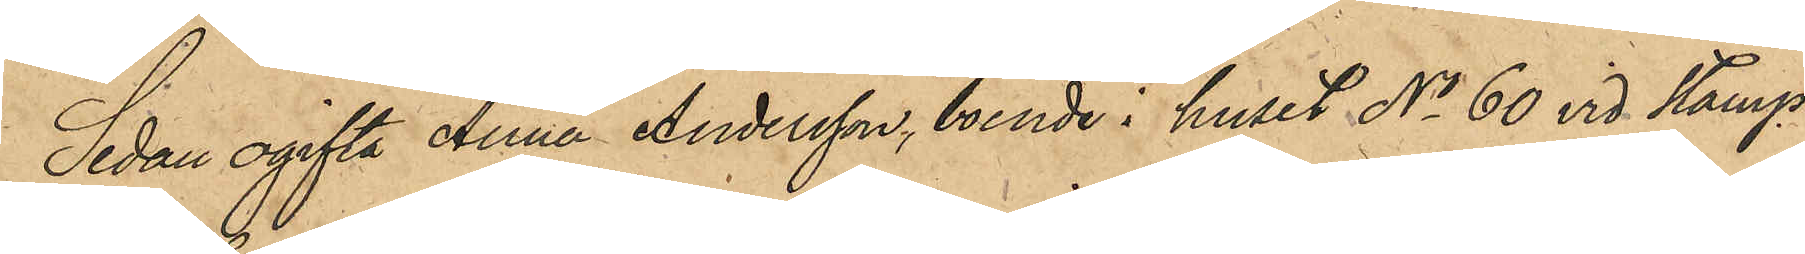Sedan ogifta Anna Andersson, boende i huset No 60 vid Stamp¬
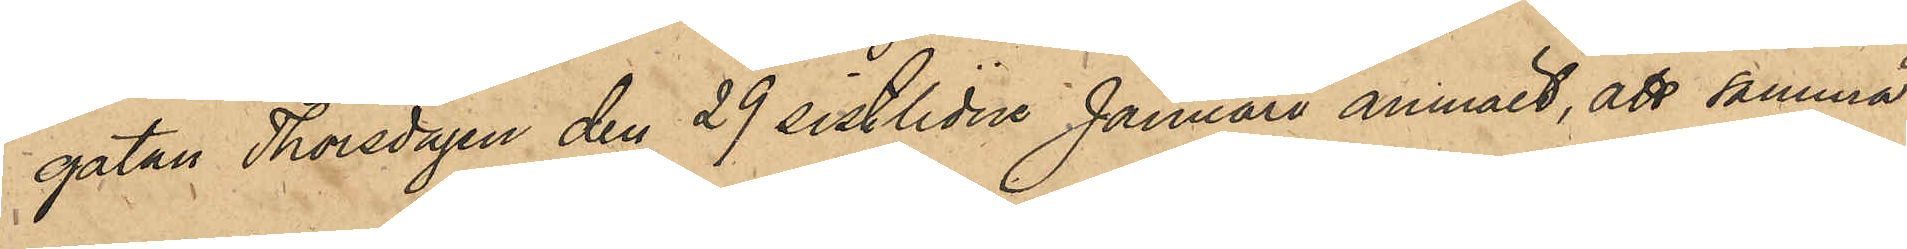gatan Thorsdagen den 29 sistlidne Januari månad anmält, att samma
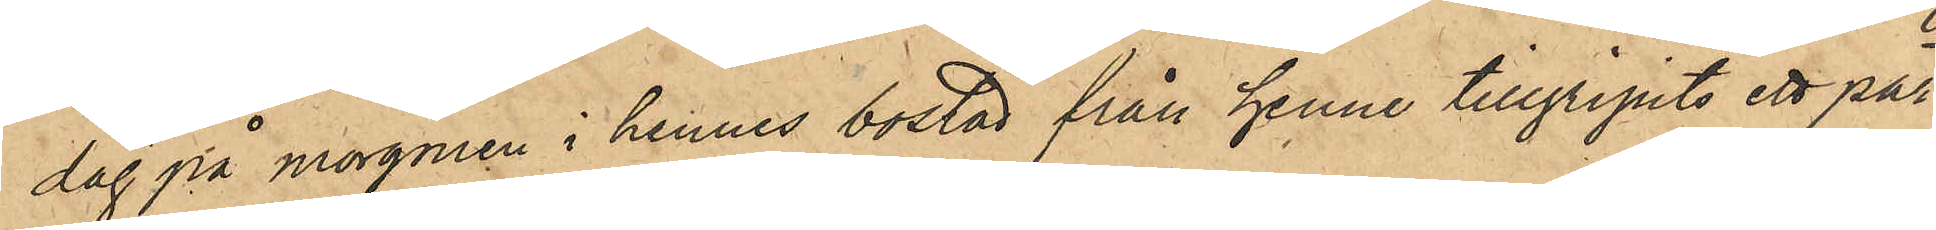dag på morgonen i hennes bostad från henne tillgripits ett par
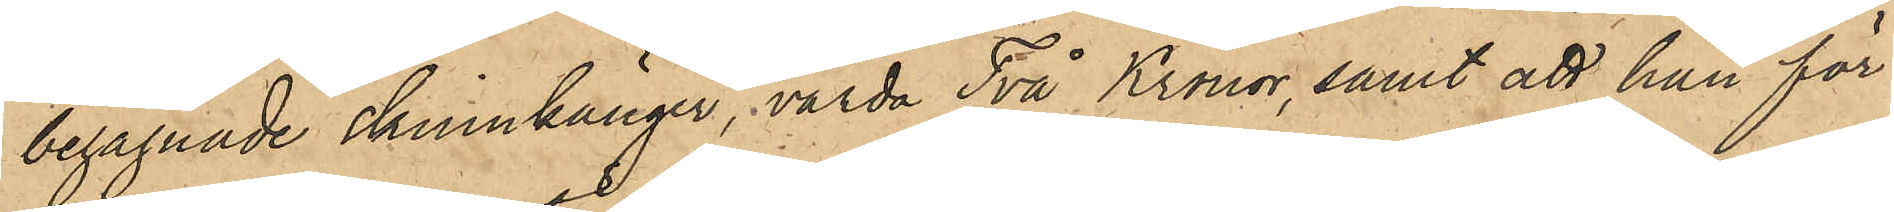begagnade skinnkänger, värda Två Kronor, samt att hon för
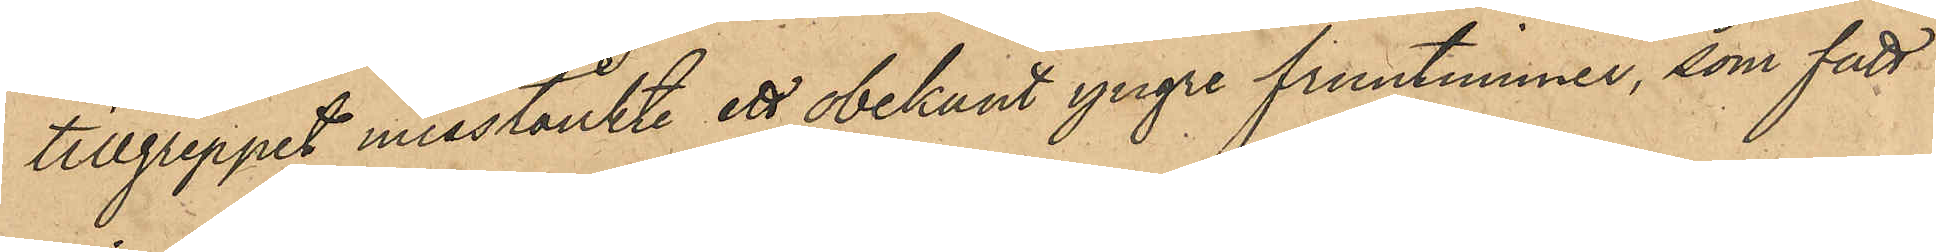tillgreppet misstänkte ett obekant yngre fruntimmer, som fått
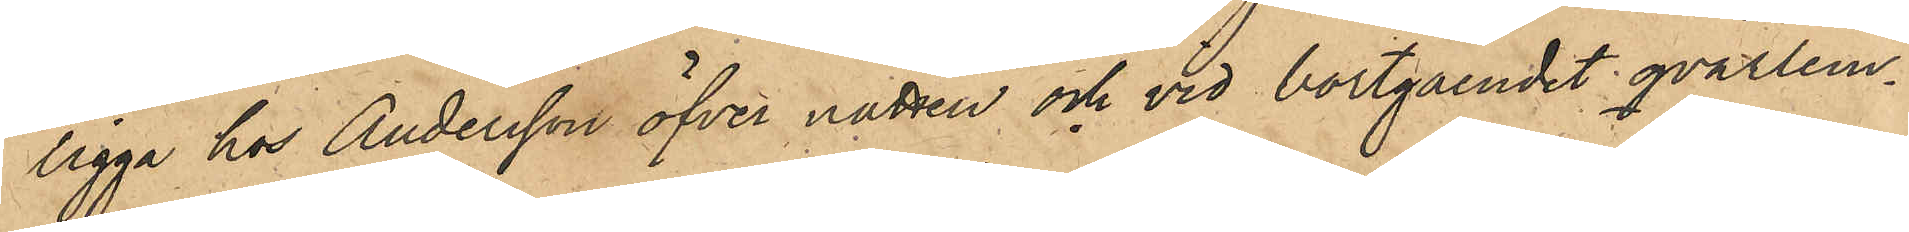ligga hos Andersson öfver natten och vid bortgåendet qvarlem¬
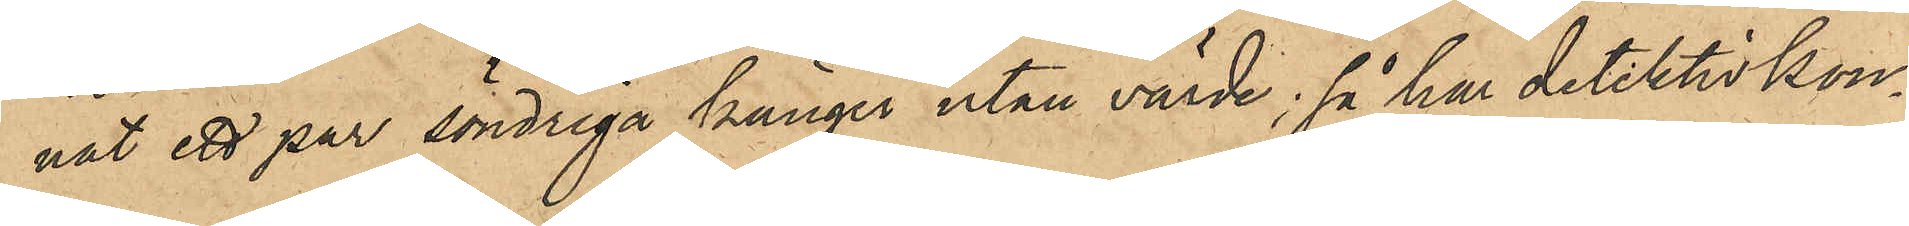nat ett par söndriga känger utan värde; så har detektivkon¬
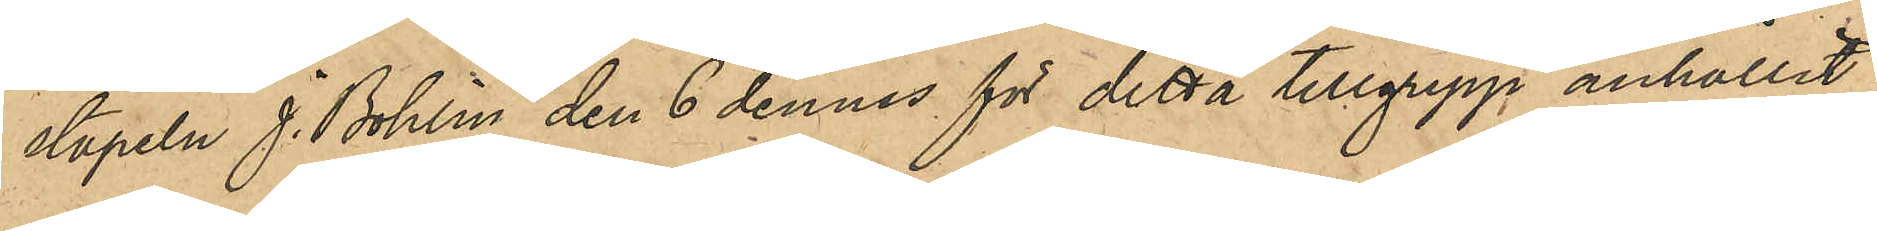stapeln J. Bohlin den 6 dennes för detta tillgrepp anhållit
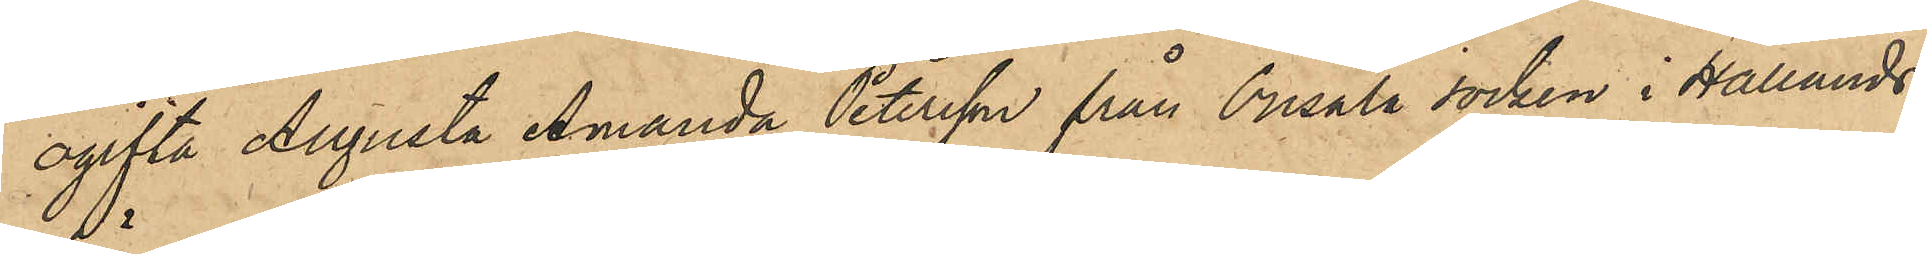ogifta Augusta Amanda Petersson från Onsala socken i Hallands
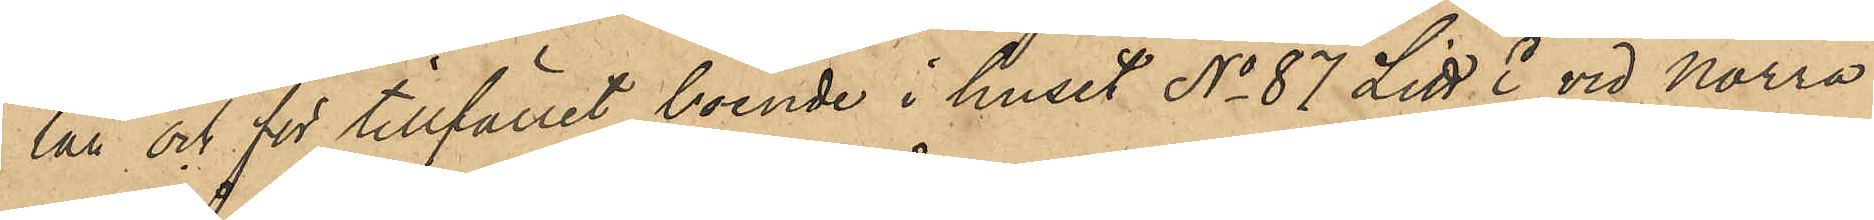län och för tillfället boende i huset No 87 Litt E vid Norra
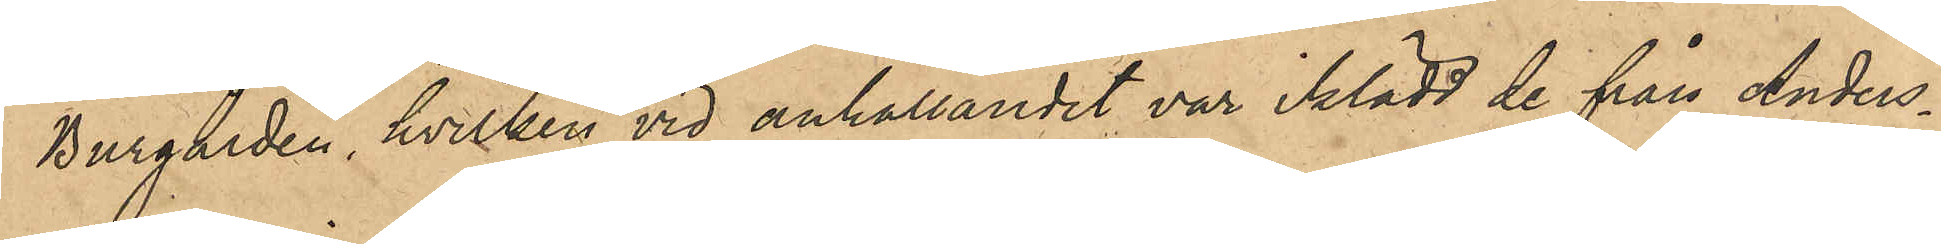Burgården, hvilken vid anhållandet var iklädd de från Anders¬
